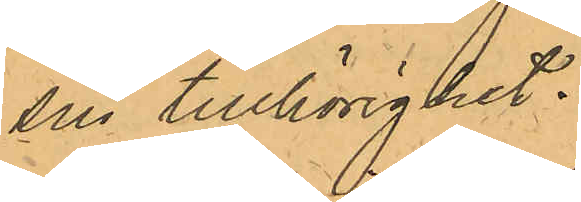sin tillhörighet.
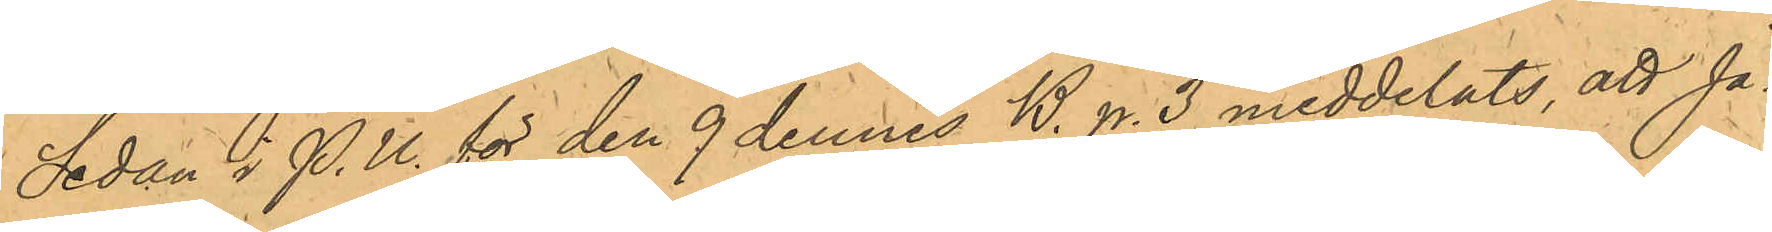Sedan i P.U. för den 9 dennes B. p. 3 meddelats, att Ja¬
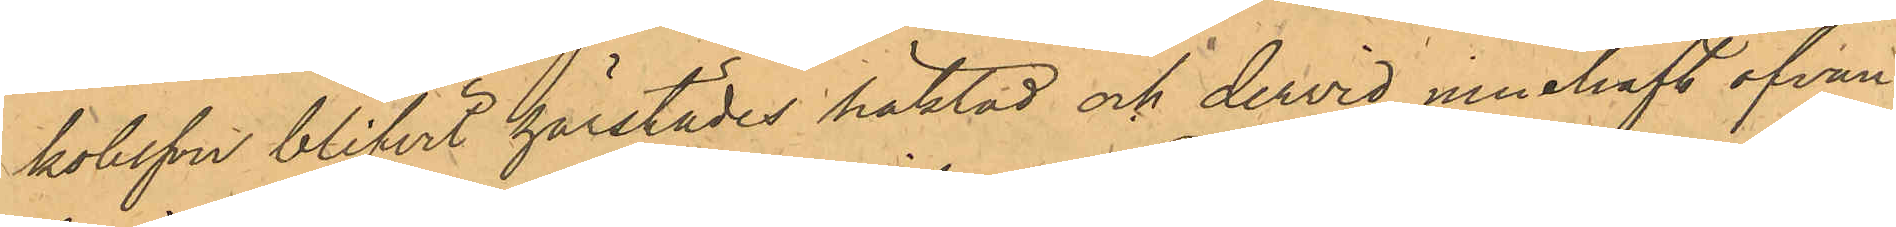kobsson blifvit härstädes häktad och dervid innehaft ofvan¬
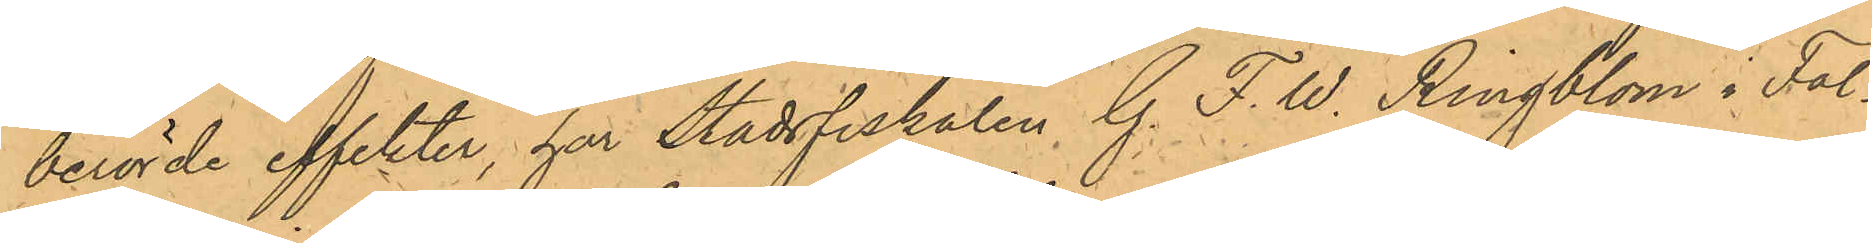berörde effekter, har Stadsfiskalen G. F. W. Ringblom i Fal¬
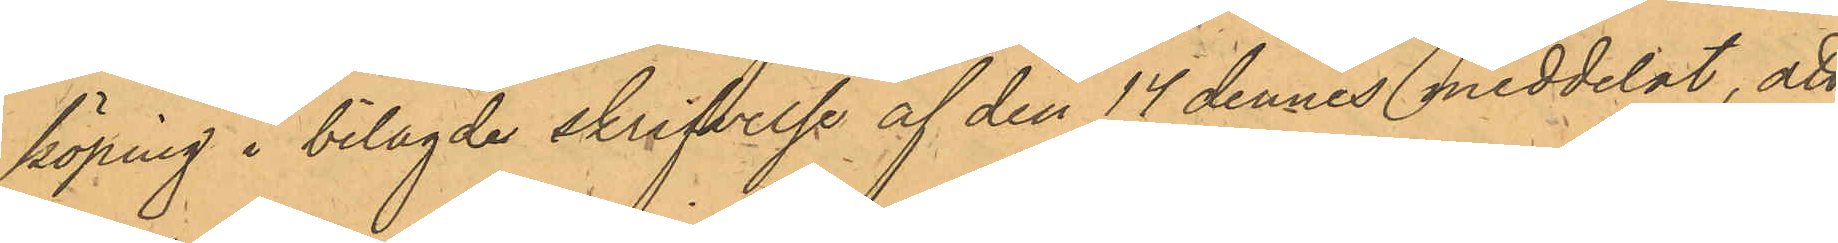köping i bilagde skrifvelse af den 14 dennes meddelat, att
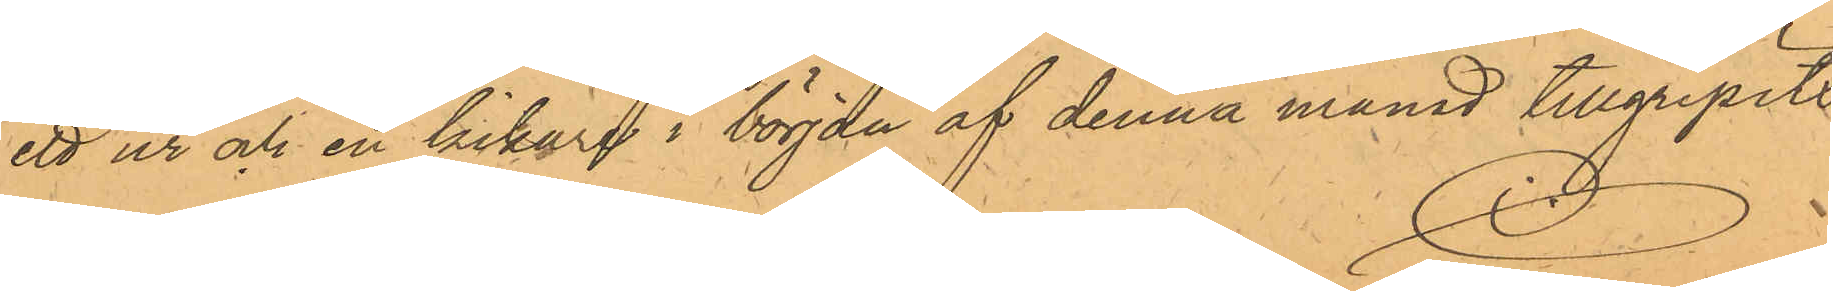ett ur och en kikare i början af denna månad tillgripits
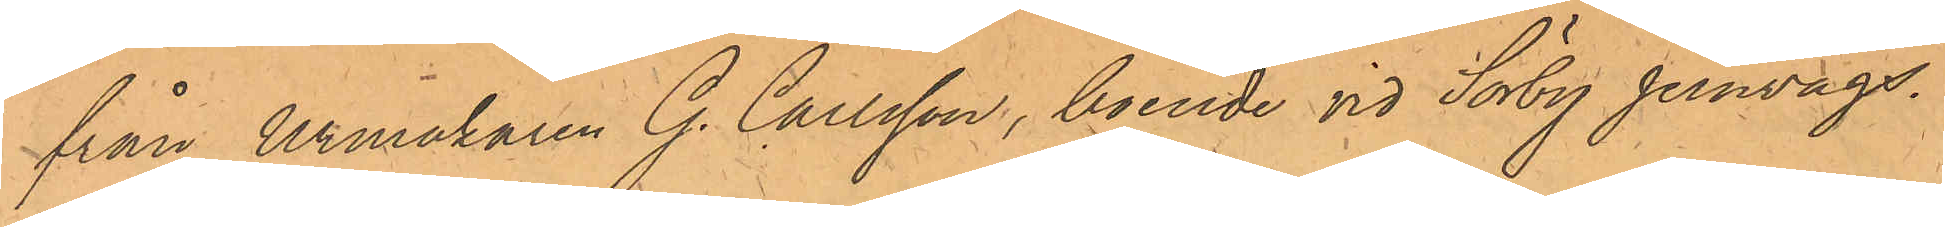från Urmakaren G. Carlsson, boende vid Sörby Jernvägs¬
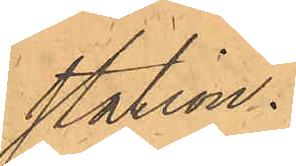station.
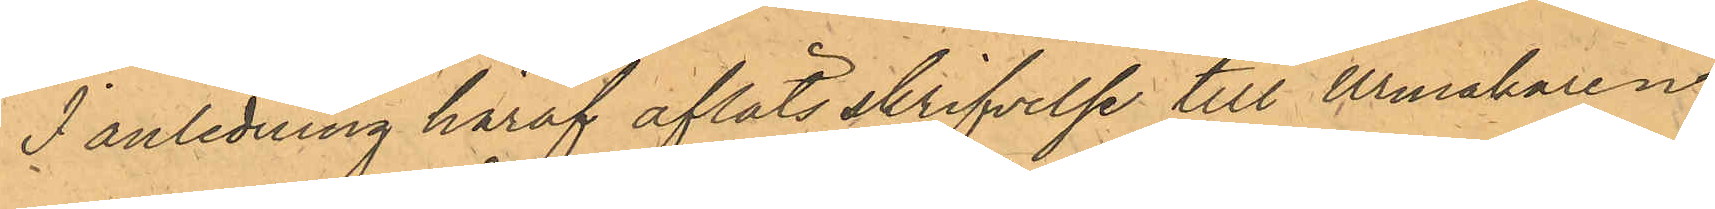I anledning häraf afläts skrifvelse till Urmakaren
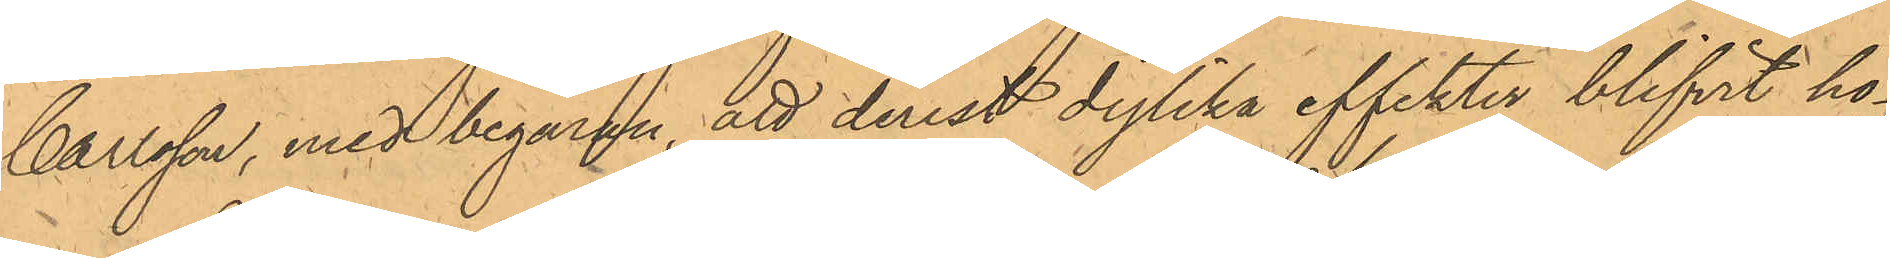Carlsson, med begäran, att derest dylika effekter blifvit ho¬
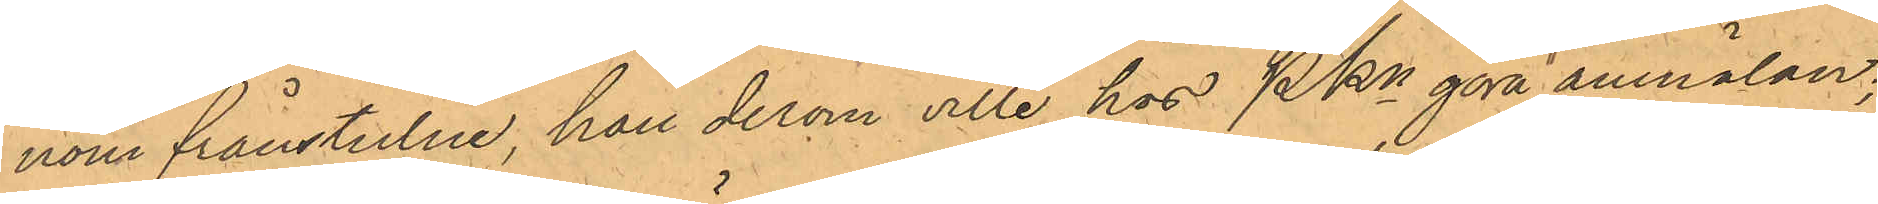nom frånstulne, han derom ville hos PKn göra anmälan;
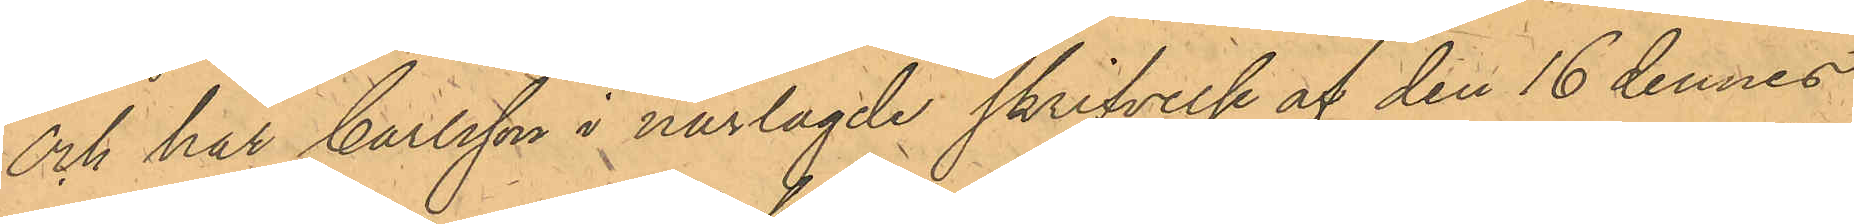Och har Carlsson i närlagde skrifvelse af den 16 dennes 
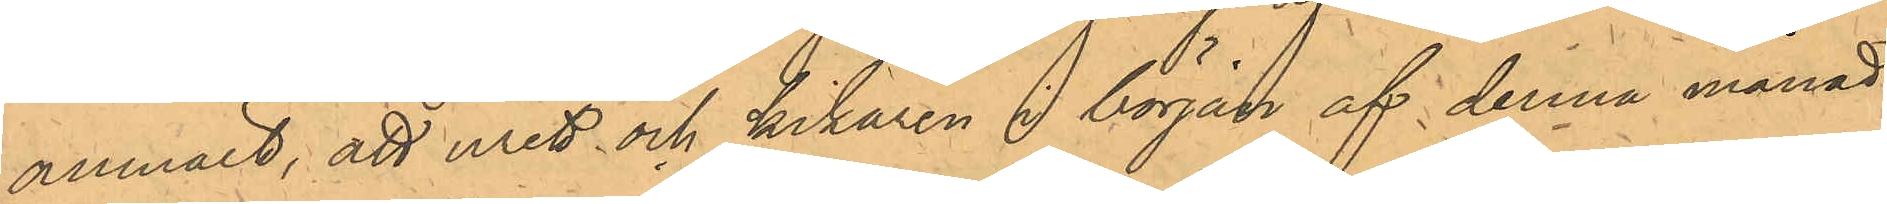anmält, att uret och kikaren i början af denna månad
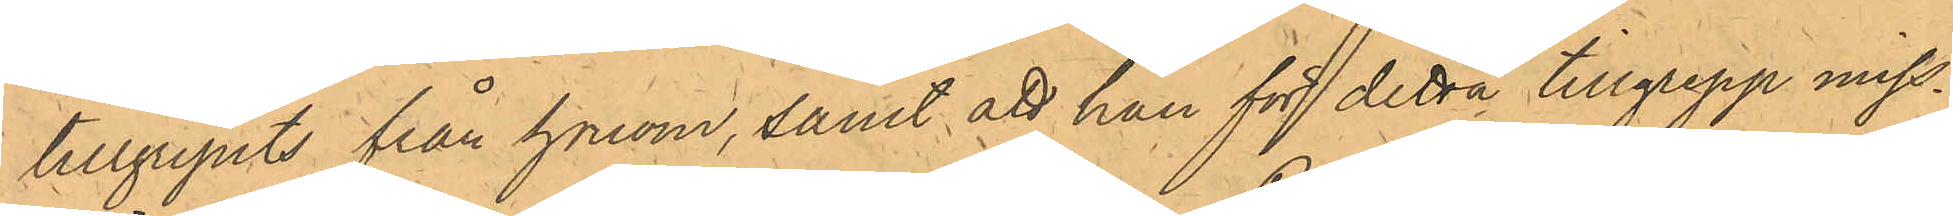tillgripits från honom, samt att han för detta tillgrepp miss¬
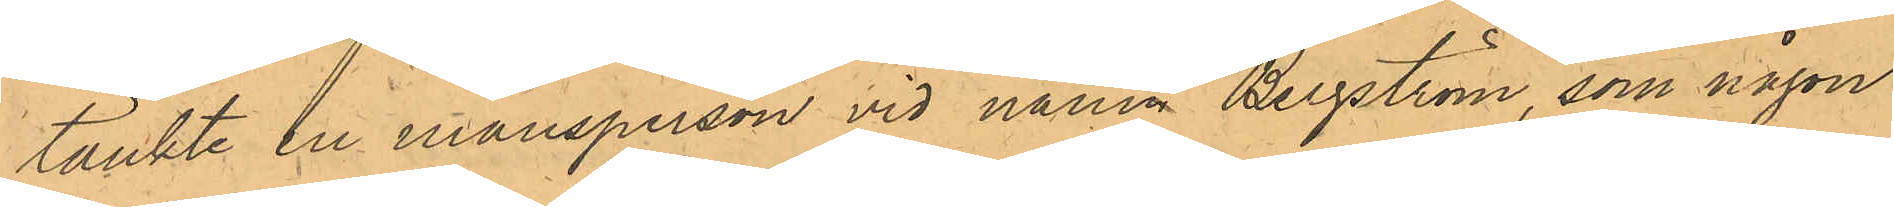tänkte en mansperson vid namn Bergström, som någon
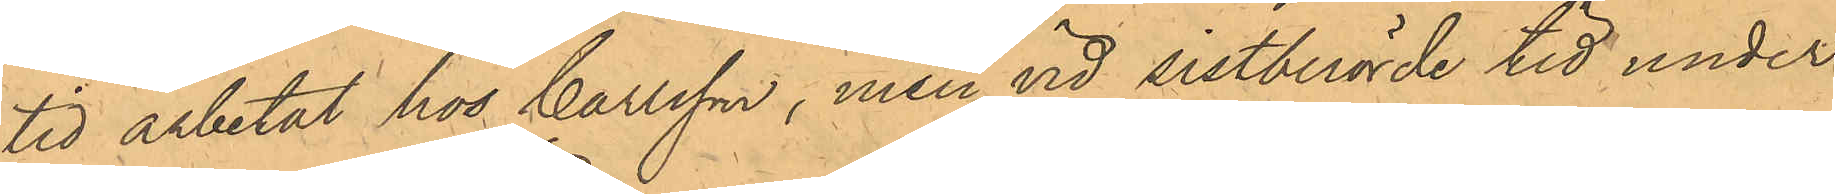tid arbetat hos Carlsson, men vid sistberörde tid under
